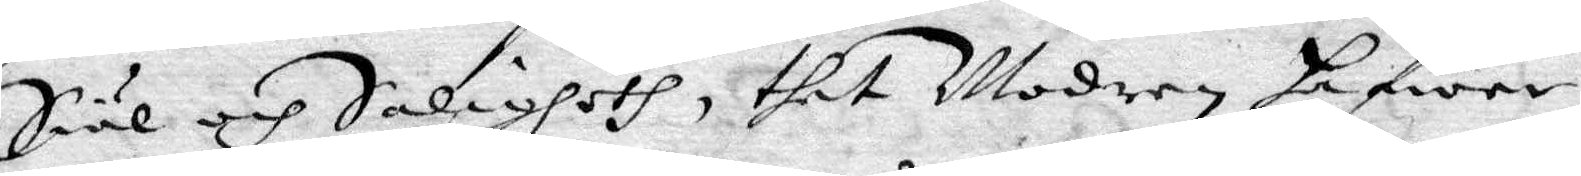Siäl och Saligheth, thet Modren hafwer
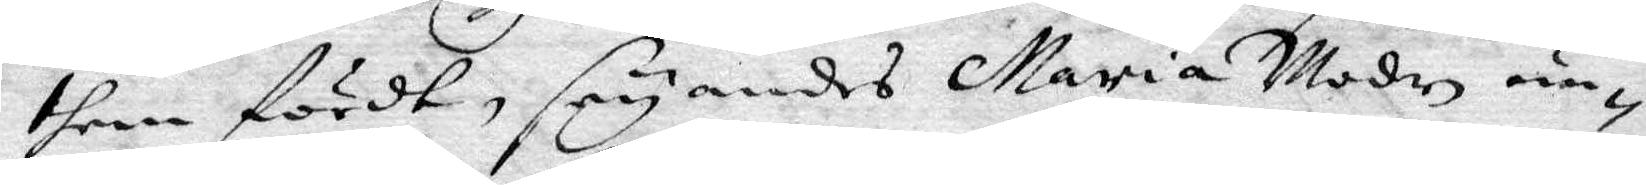them fört, säyandes Maria Moder un¬
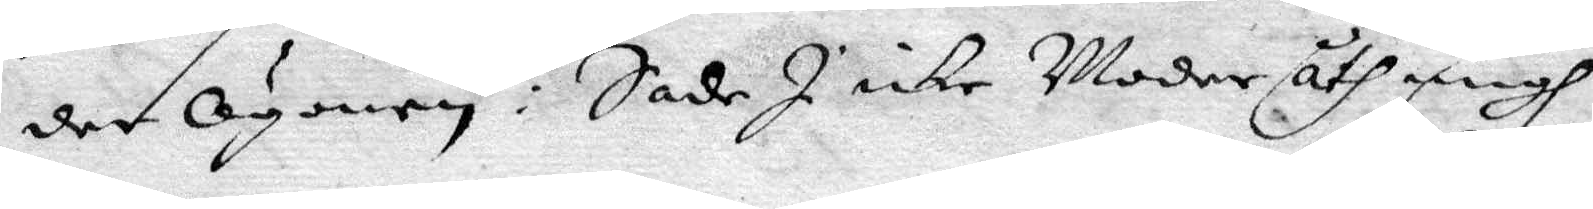der Ögonen: Sade I icke Moder åth migh
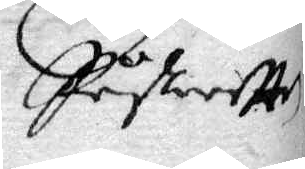Påskafften
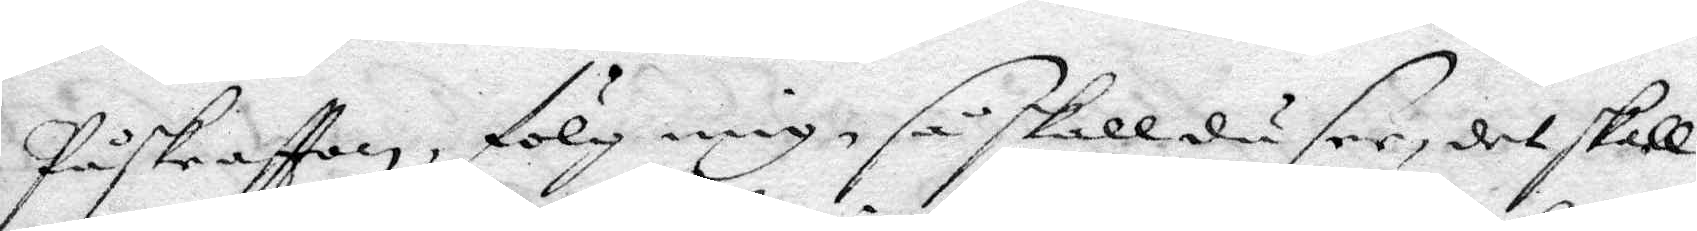Påskeaftton, fölg mig, så skall du see, det skall
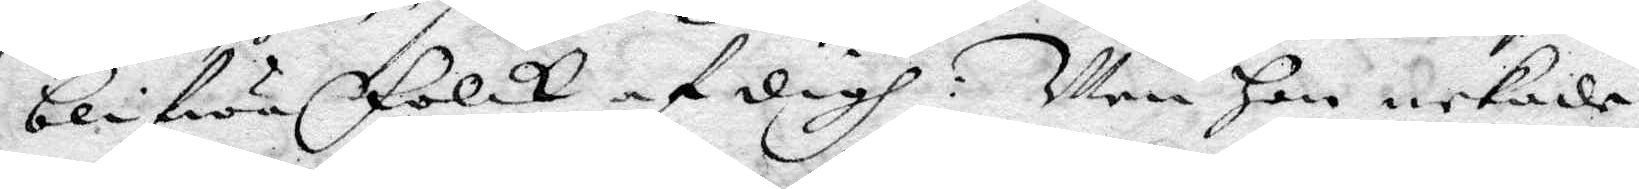blifwa Folck af digh; Men Hon nekade
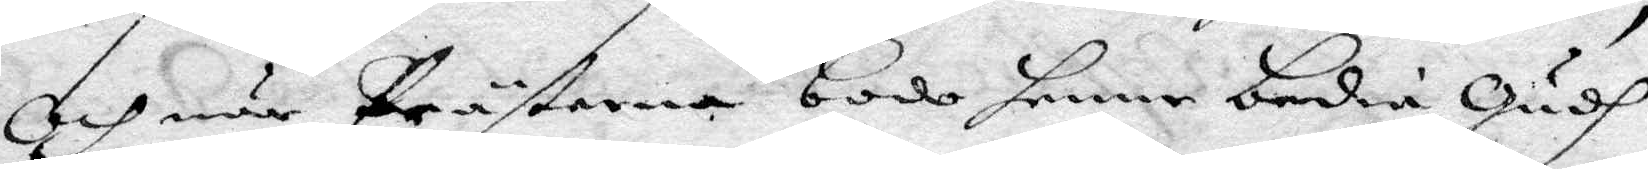Och när Prästerna bode henne bedia Gudh
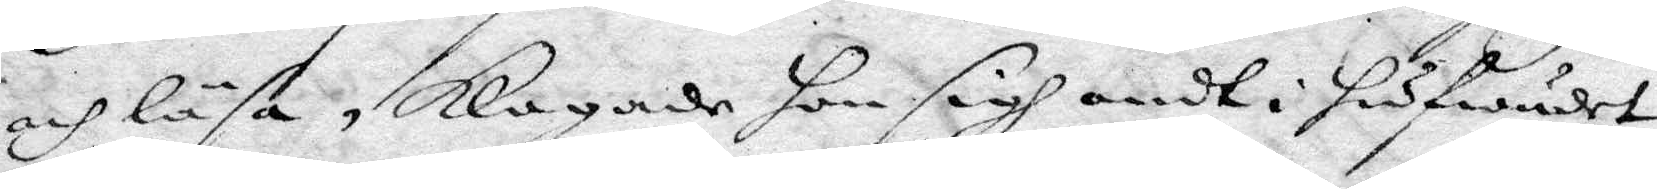och läsa, Klagade hon sigh ondt i hufwudet,
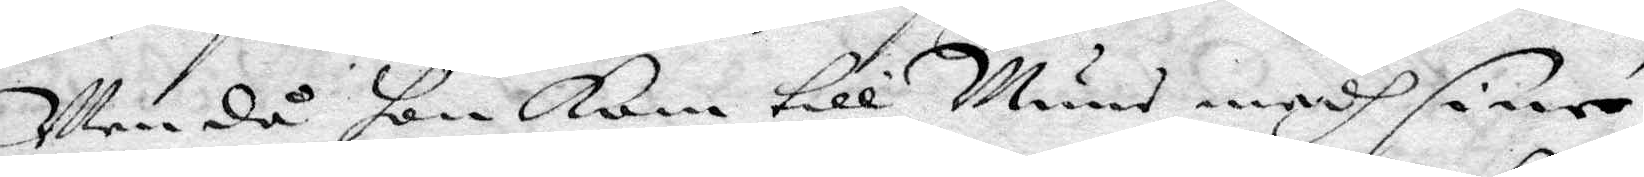Men då hon Kom till Muns medh sine
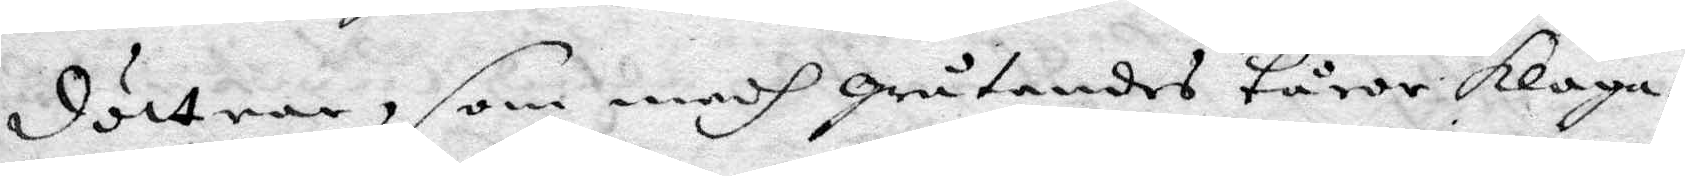döttrar, som medh gråtande tårar klaga¬
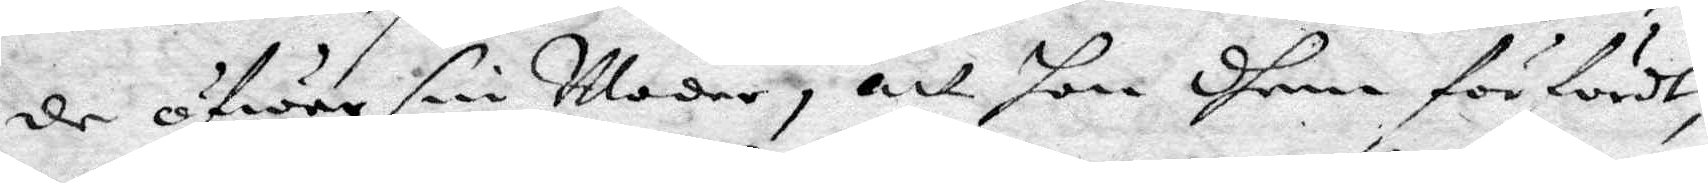de öfwer sin Moder, att hon dhem förfördt,
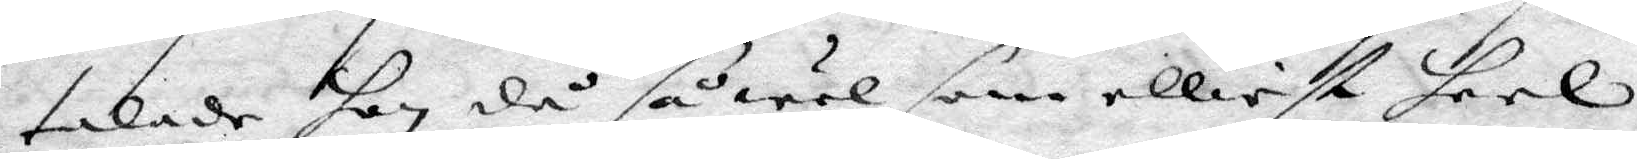talade han då så wäl som elliest heel
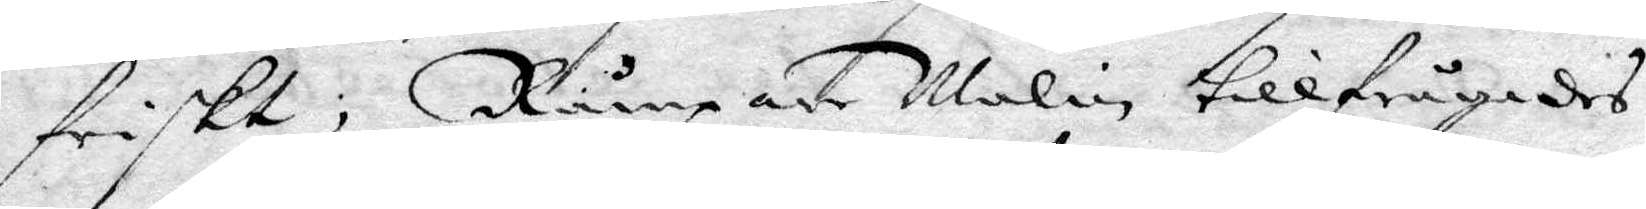friskt; Rumpade Malin tillfrågades
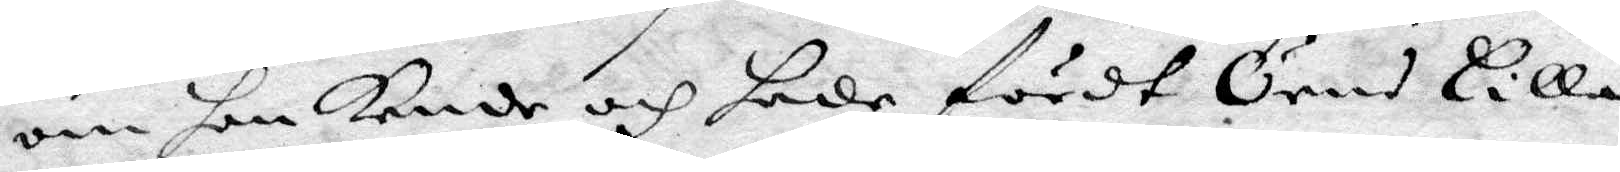om hon kende och hade fördt Öers Lilla
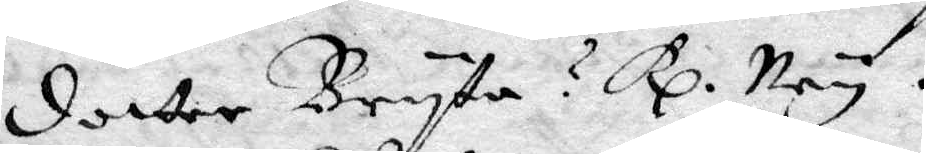dotter Bryta? Rp. Ney.
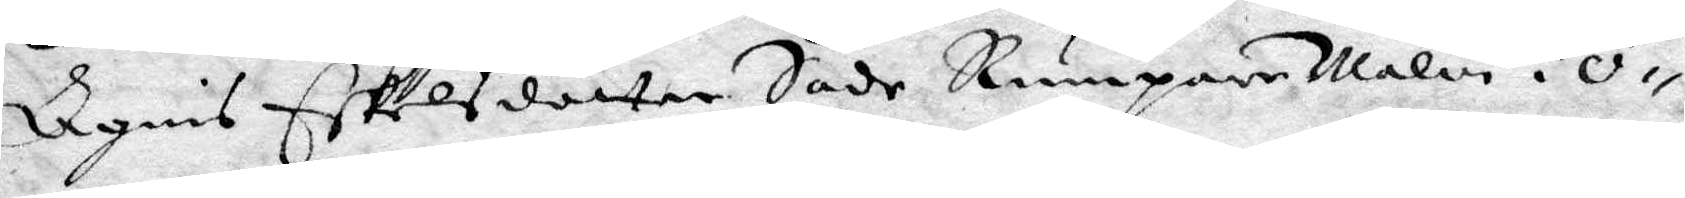Agnis Eskelsdotter Sade Rumpare Malin i Ö¬
